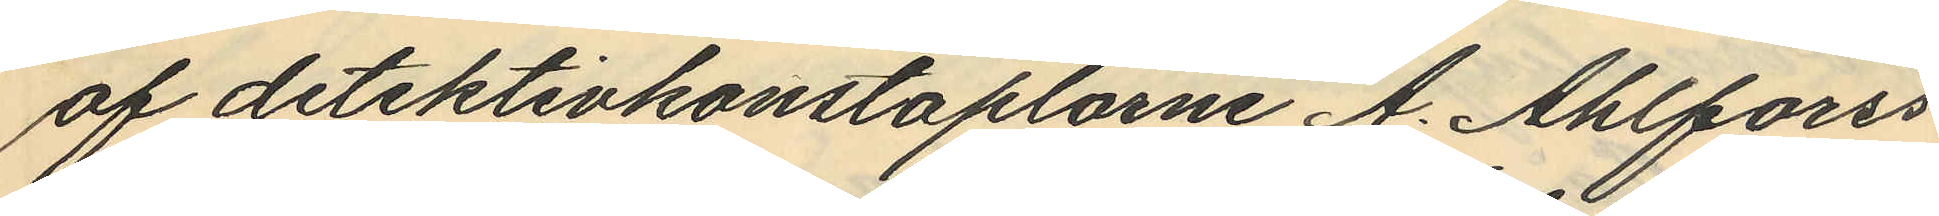af detektivkonstaplarne A. Ahlforss
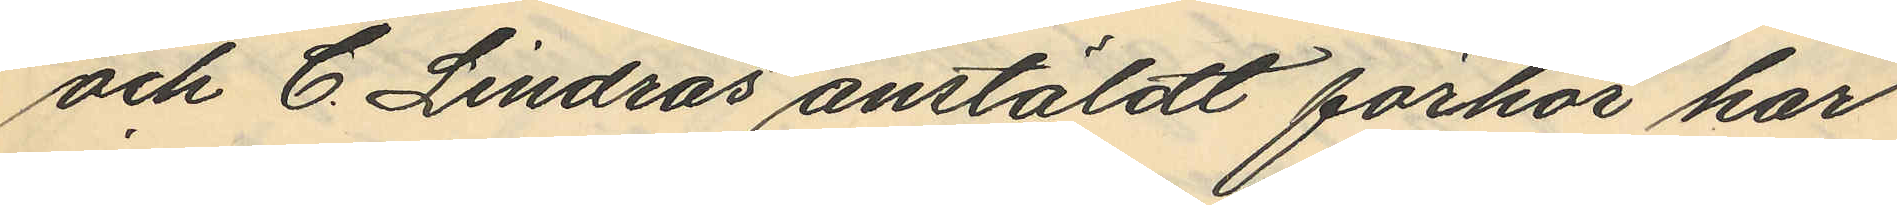och C. Lindros anstäldt förhör har
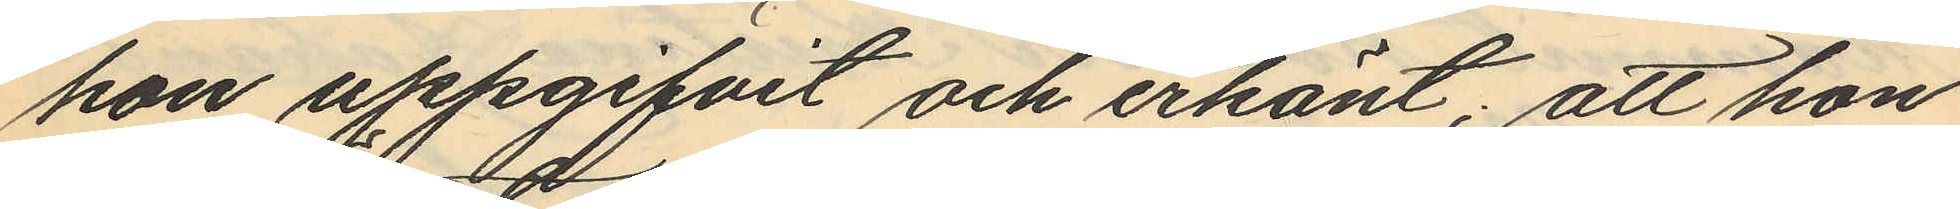hon uppgifvit och erkänt; att hon
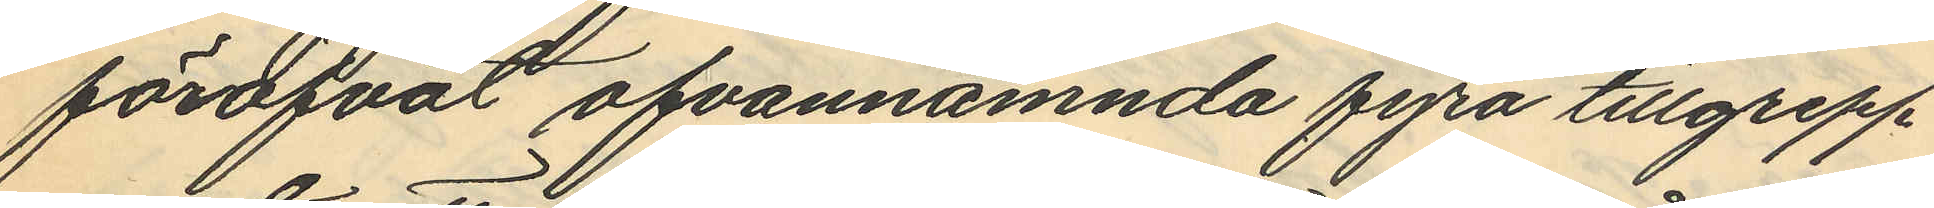föröfvat ofvannämnda fyra tillgrepp
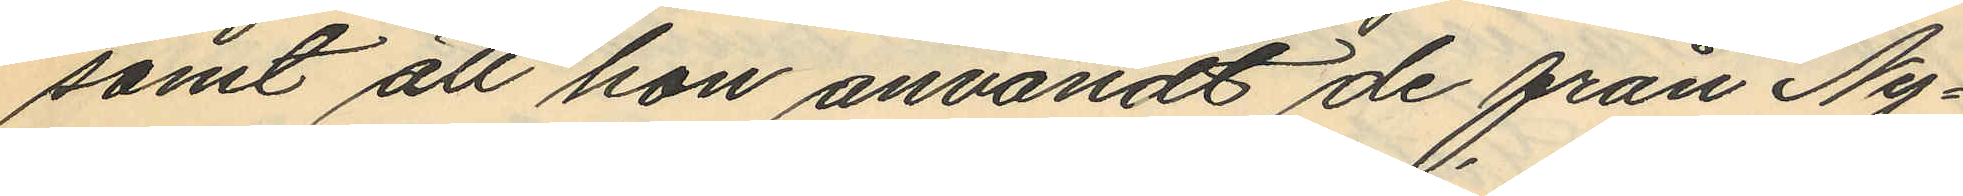samt att hon användt de från Ny¬
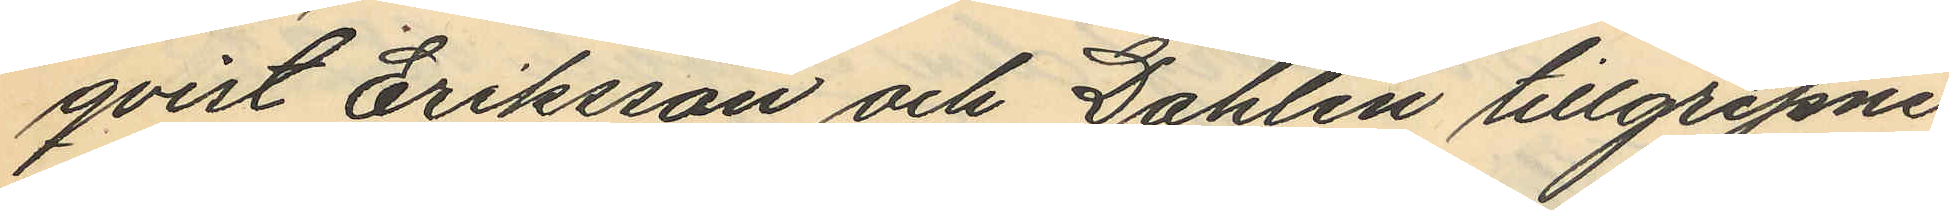qvist Eriksson och Dahlén tillgripne
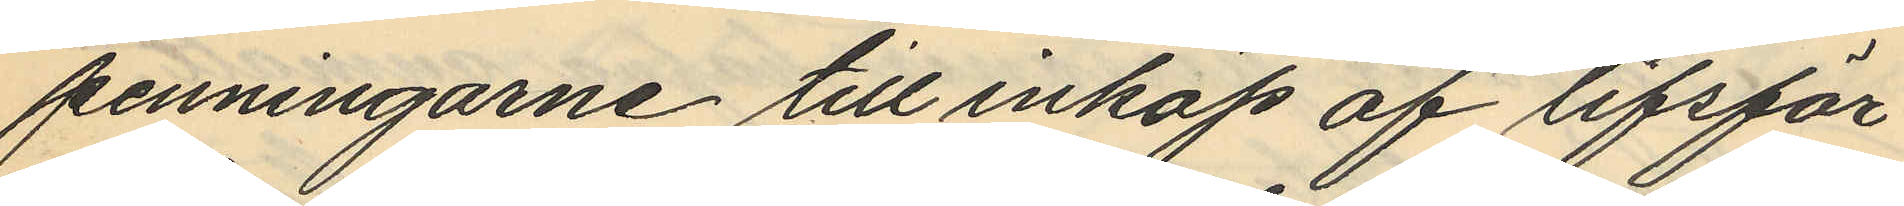penningarne till inköp af lifsför¬
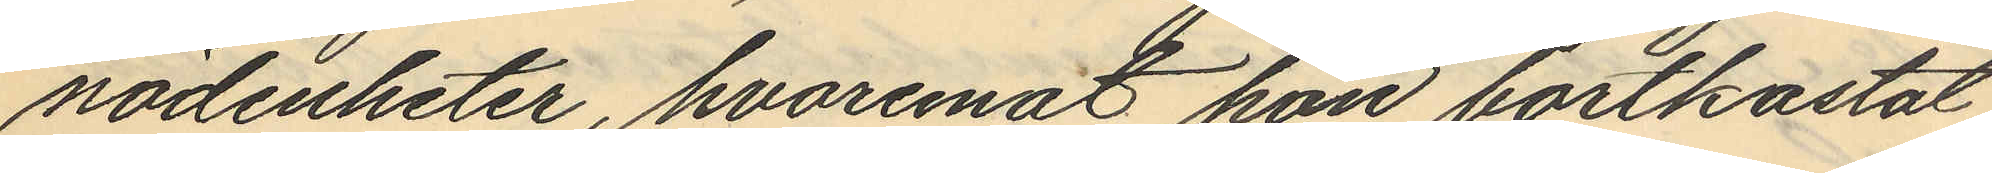nödenheter, hvaremot hon bortkastat
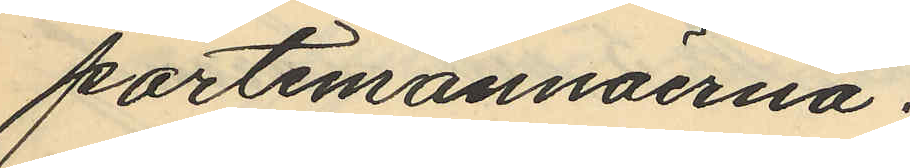portemonnäerna.
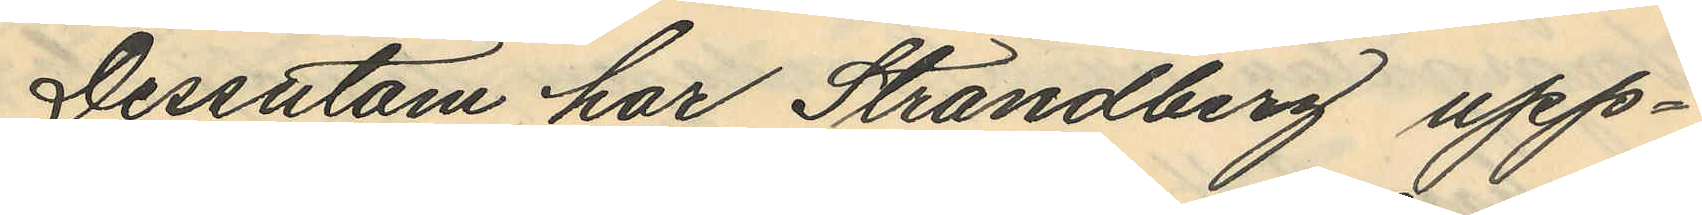Dessutom har Strandberg upp¬
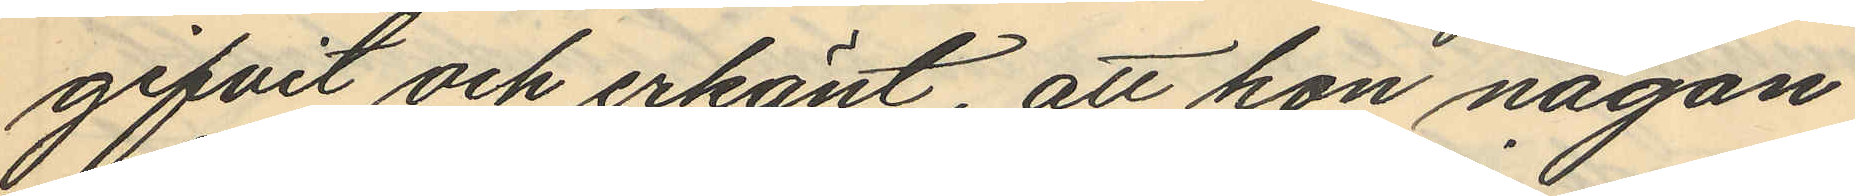gifvit och erkänt, att hon någon
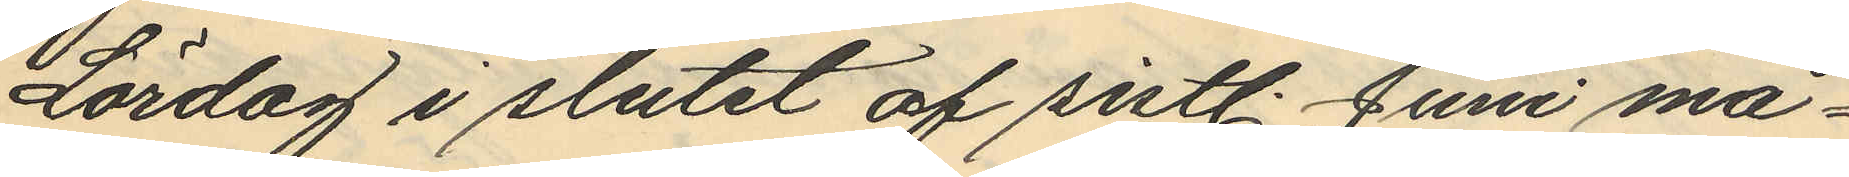Lördag i slutet af sistl. Juni må¬
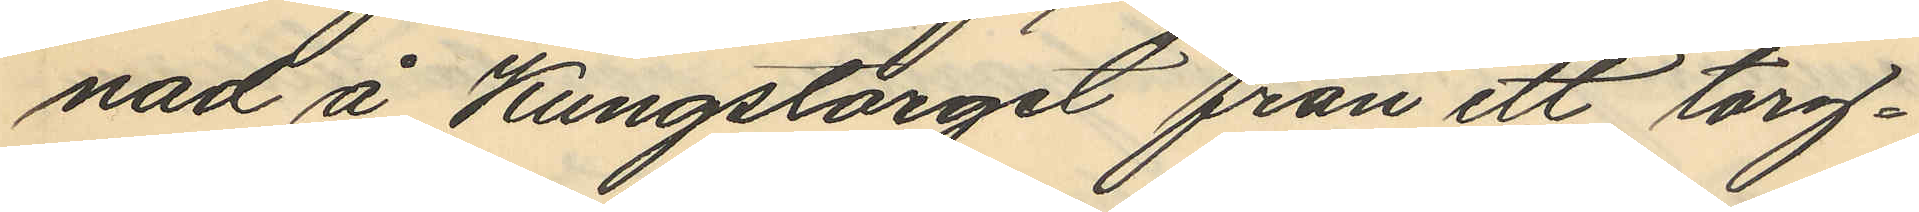nad å Kungstorget från ett torg¬
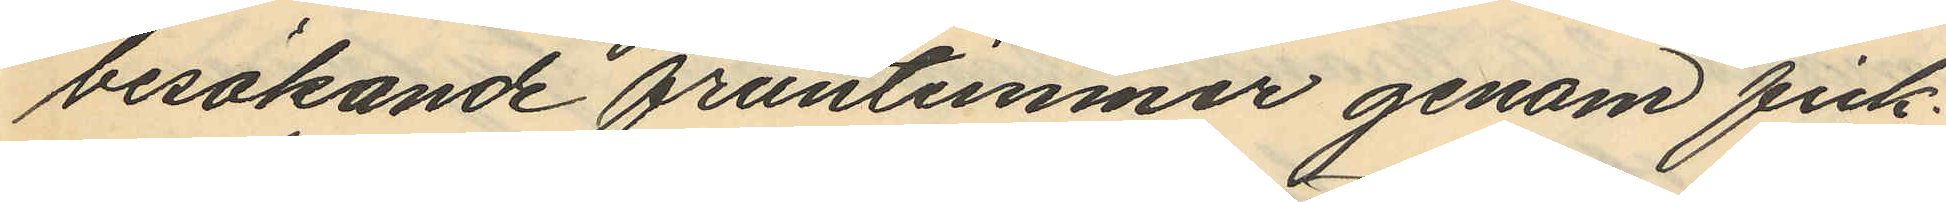besökande fruntimmer genom fick¬
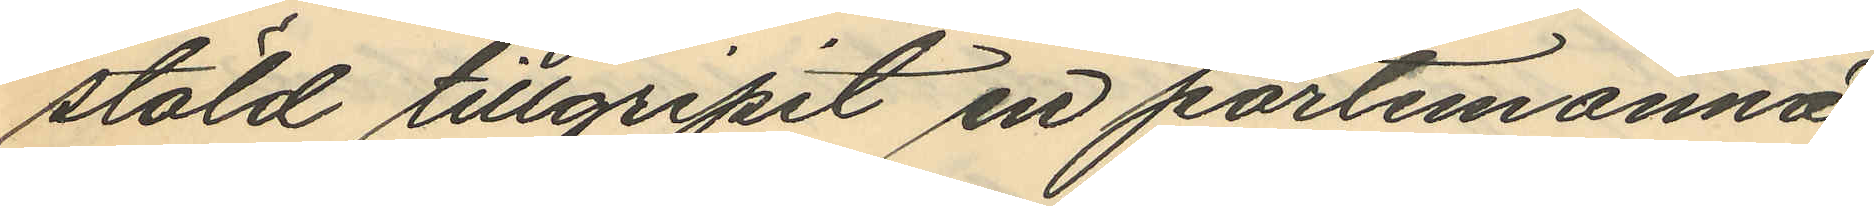stöld tillgripit en portemonnä
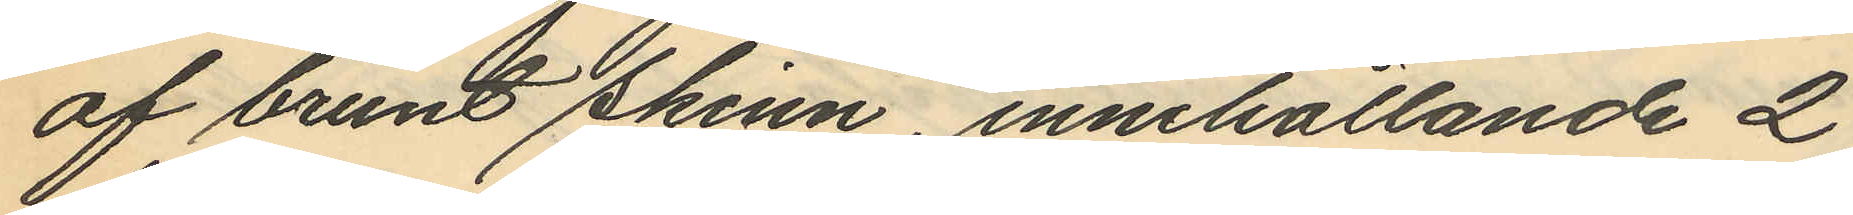af brunt skinn, innehållande 2
